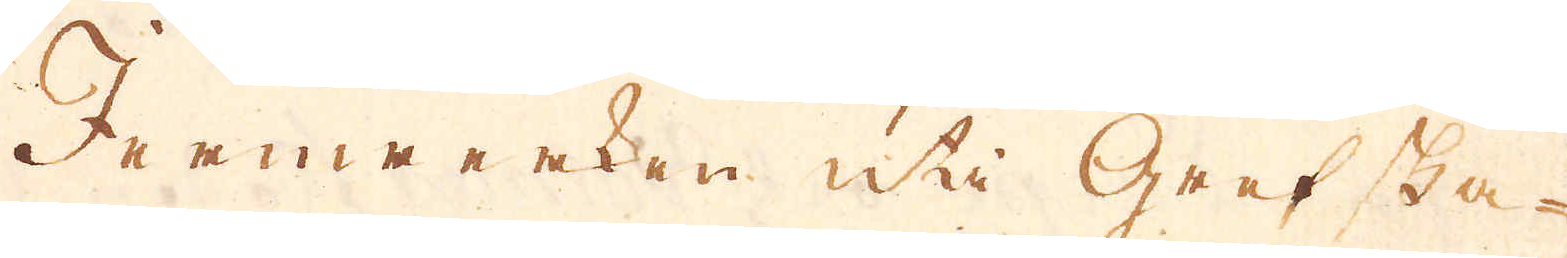Jernwerken uti Grefska-
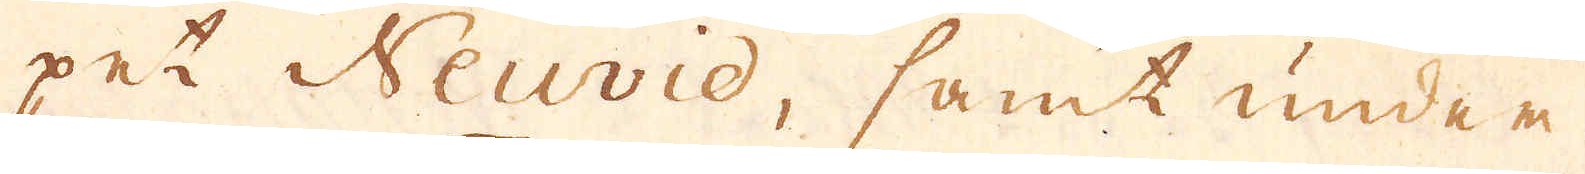pet Neuvid, samt under
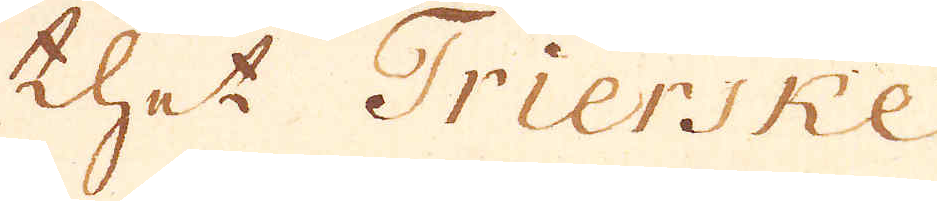thet Trierske
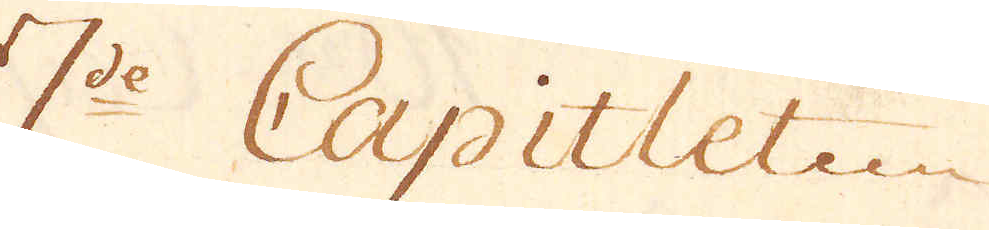7:de Capitlet
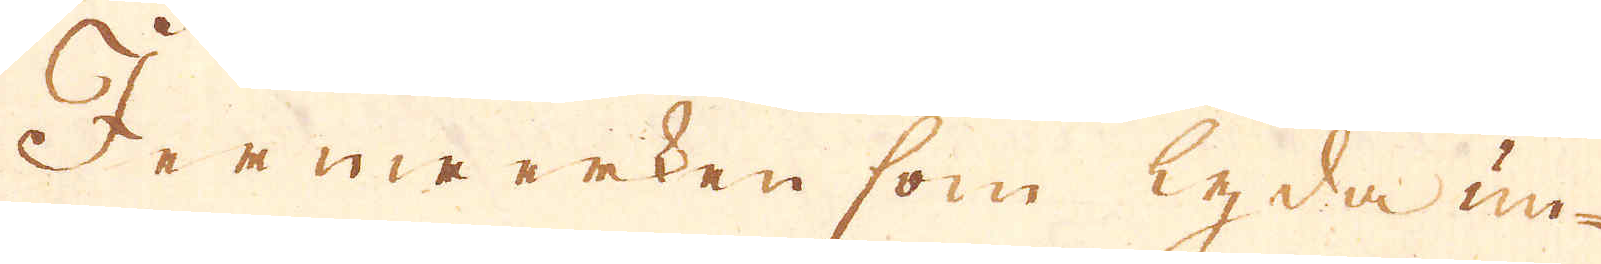Jernwerken som lyda un-
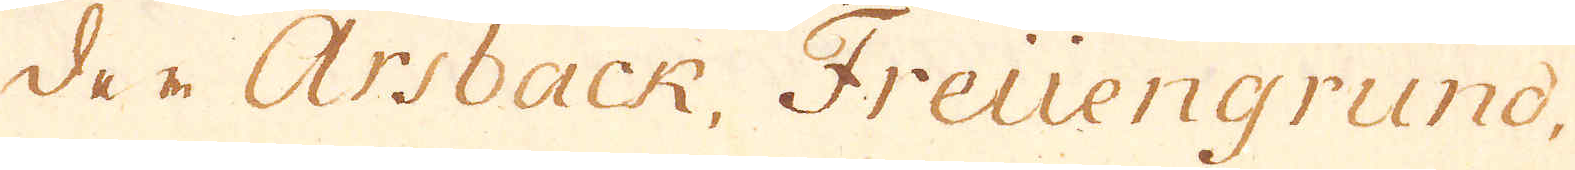der Arsback, Freüengrund,
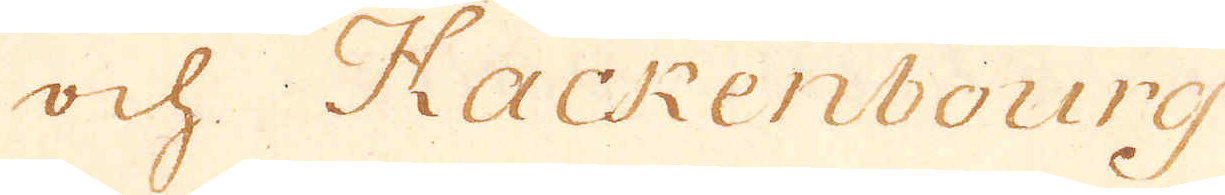ock Hackenbourg
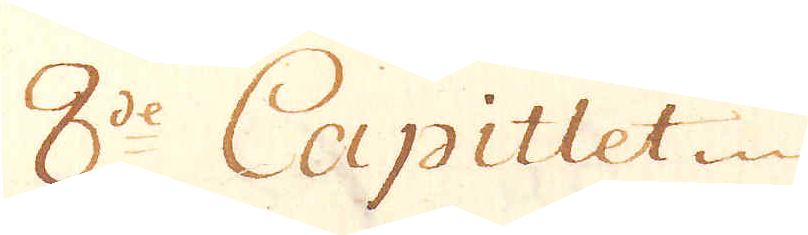8de Capitlet
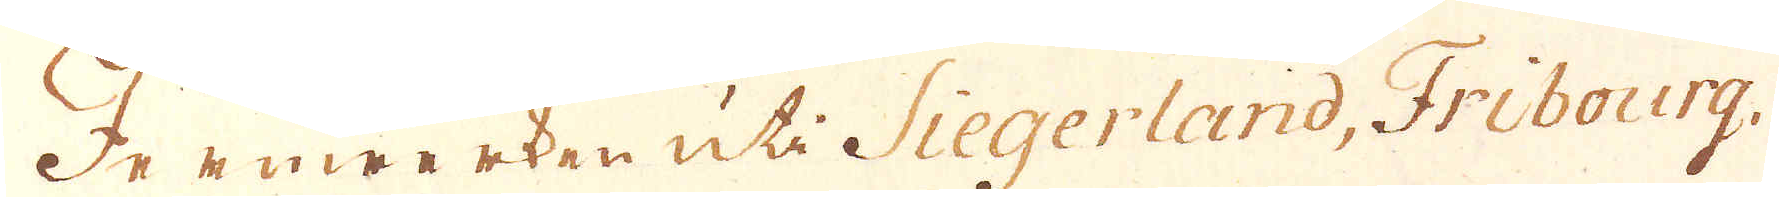Jernwerken uti Siegerland, Fribourg,
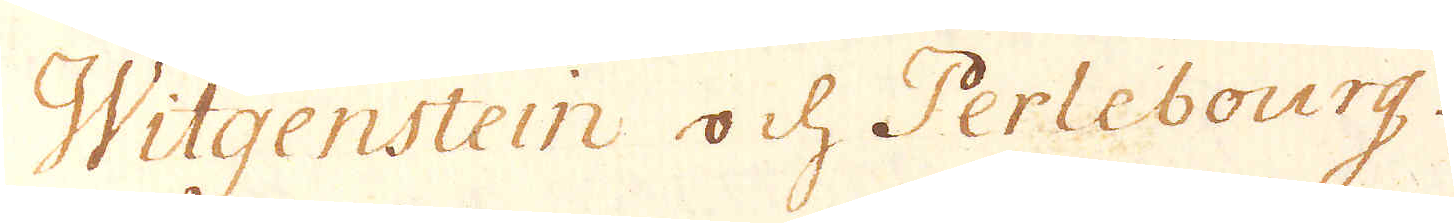Witgenstein och Perlebourg.
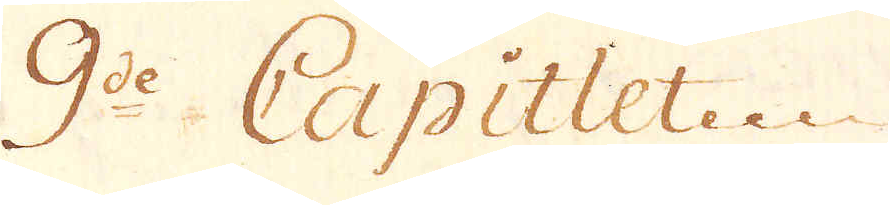9de Capitlet
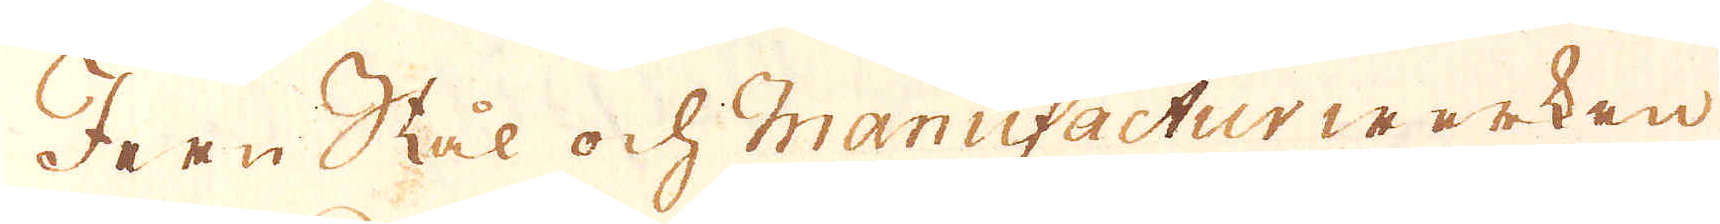Jern Stål och Manufactur werken
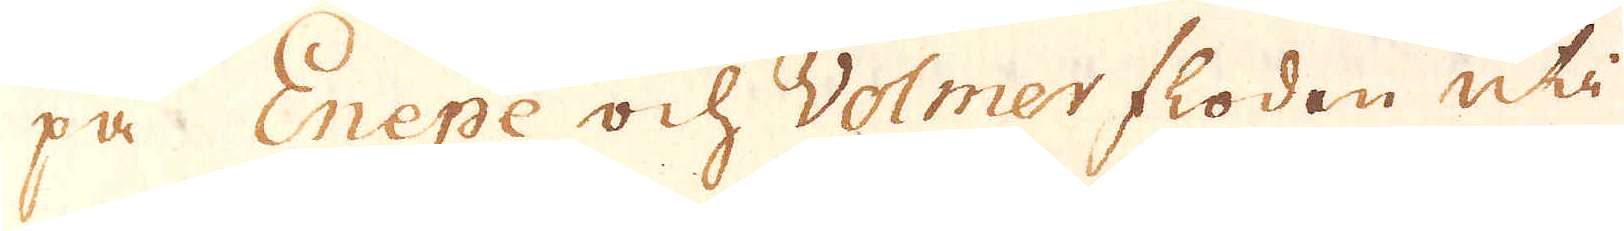på. Enepe och Volmer floden uti
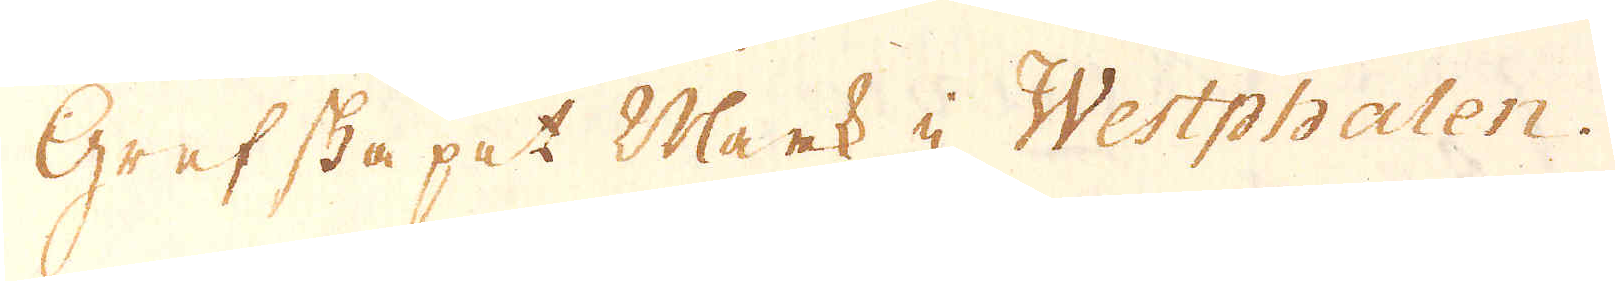Grefskapet Mark i Westphalen.
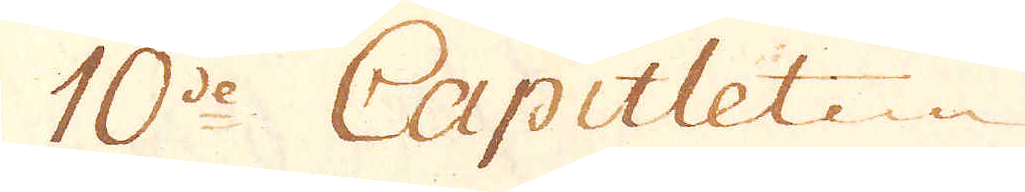10e Capitlet
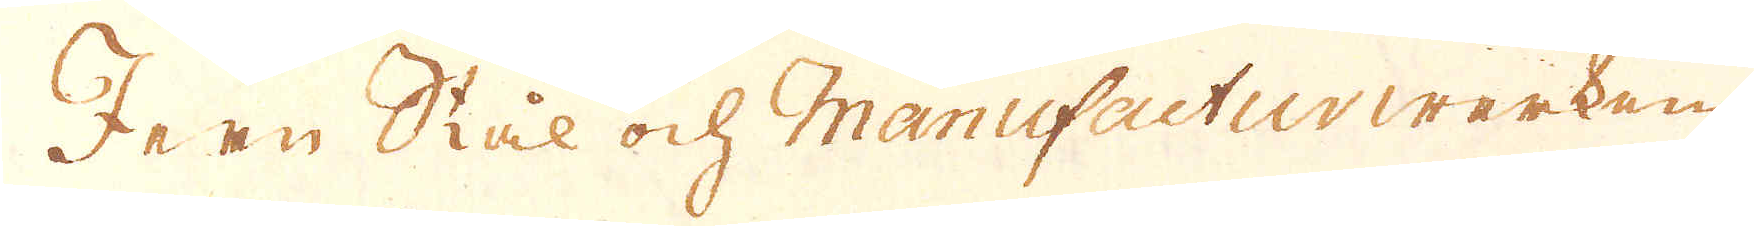Jern Stål och Manufactur werken
